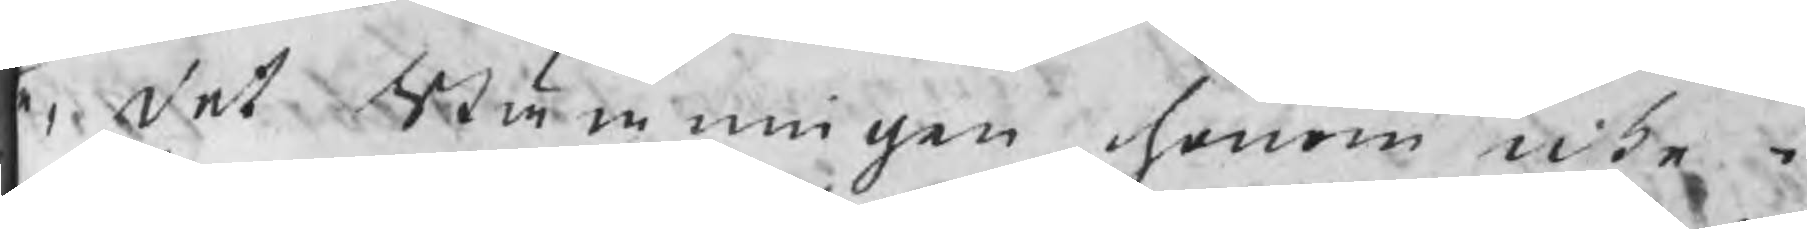e, det Stämningen honom icke i
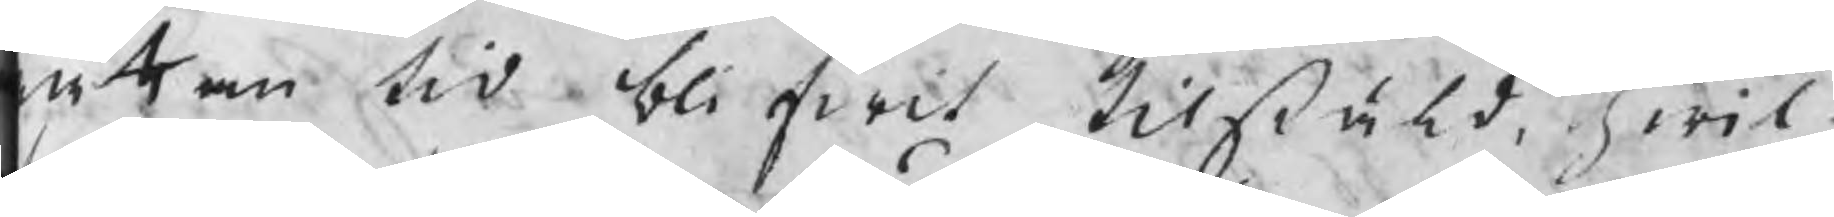ättan tid blifwit tilstäld, hwil¬
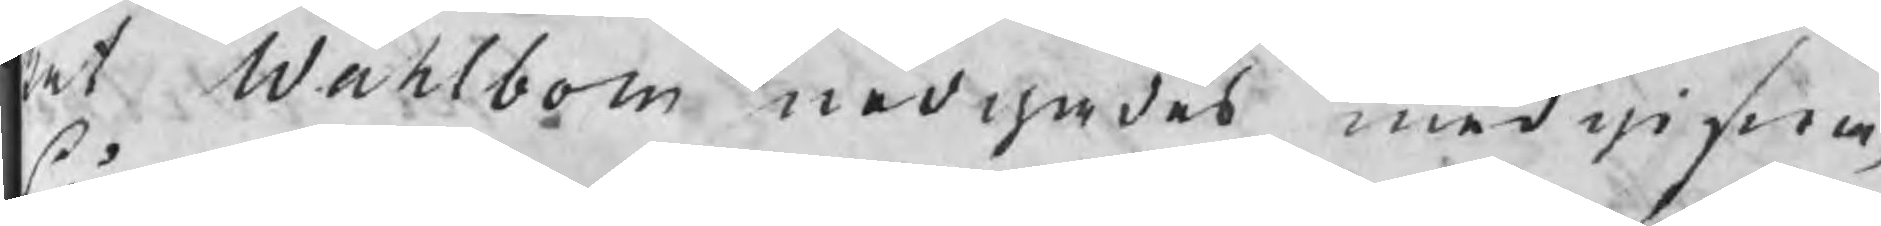ket Wahlbom nödgades medgifwa,
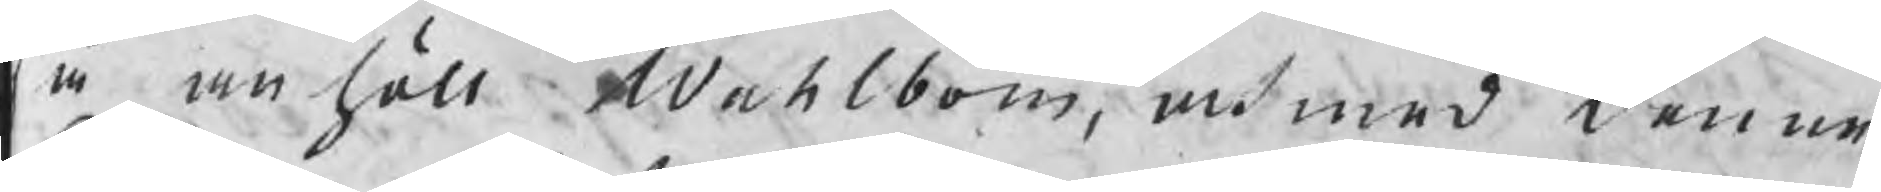så anhöll Wahlbom, at med denne
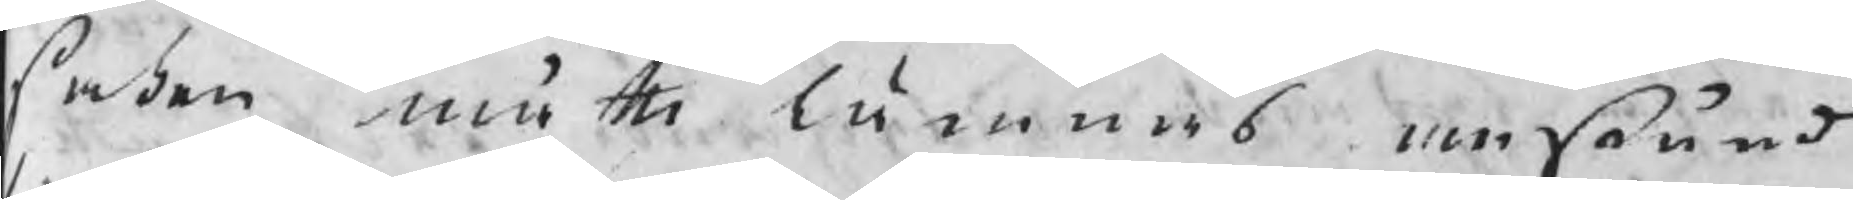saken måtte lämnas anstånd
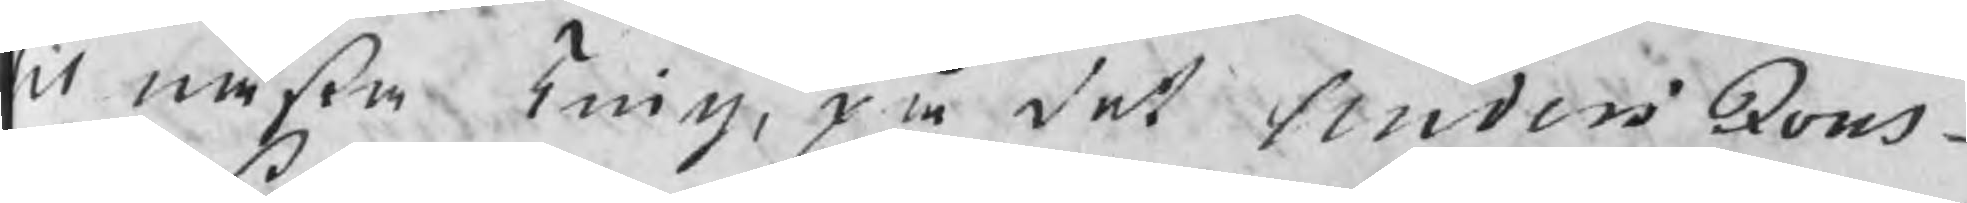til nästa Ting, på det Anders Jons¬
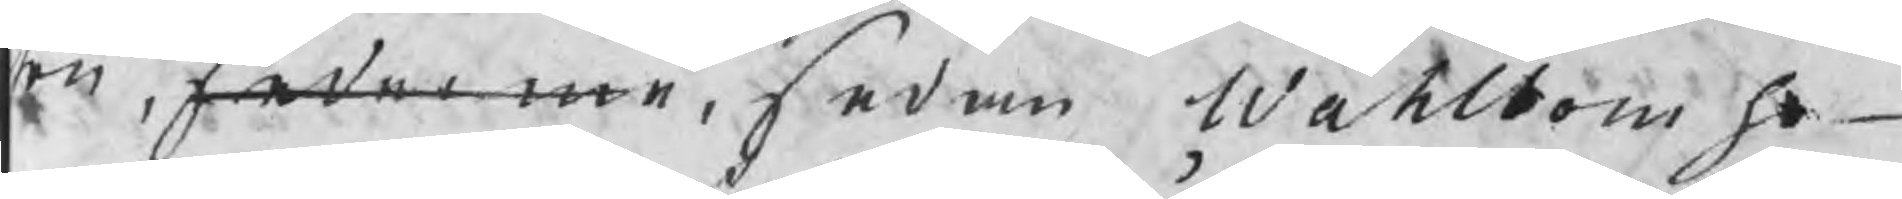son, sederme, sedan Wahlbom ho¬
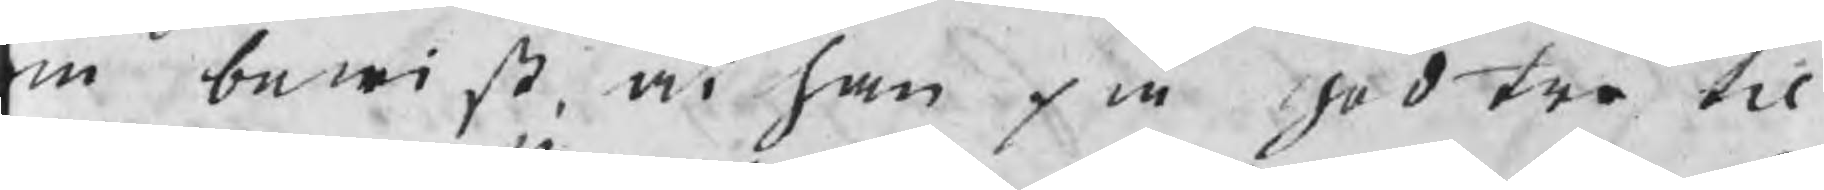m bewist, at han på god tro til
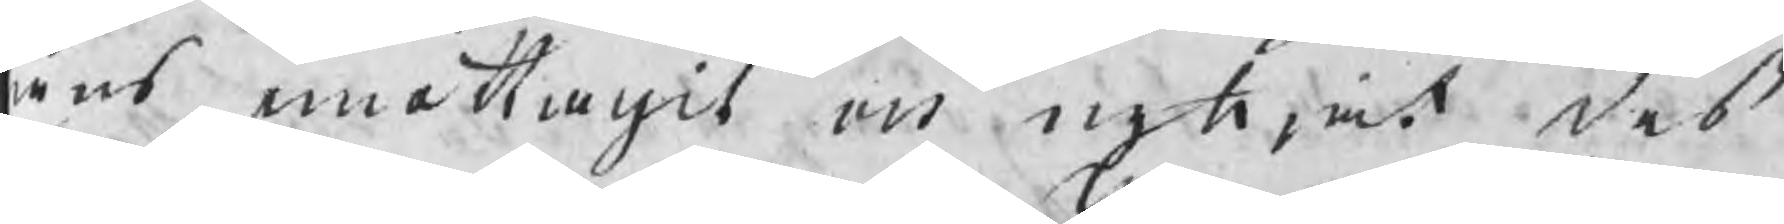låns emottagit och nyttjat deß
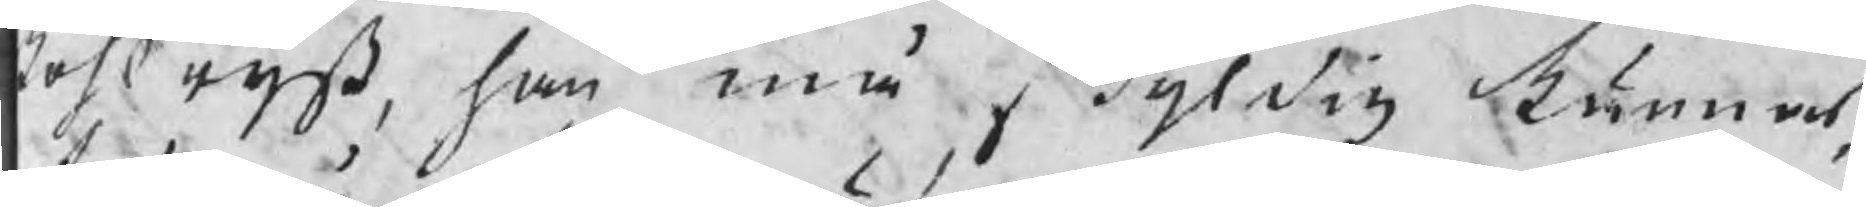kohlryß, han må skyldig kännas,
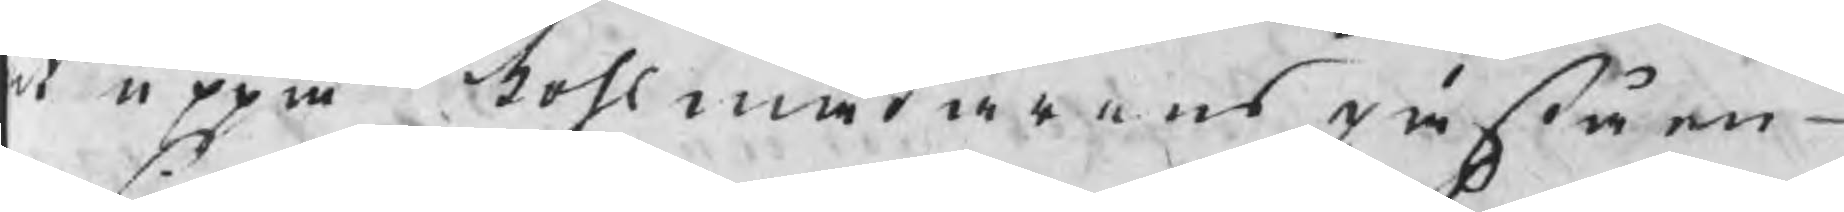t uppå kohlmätarens påståen¬
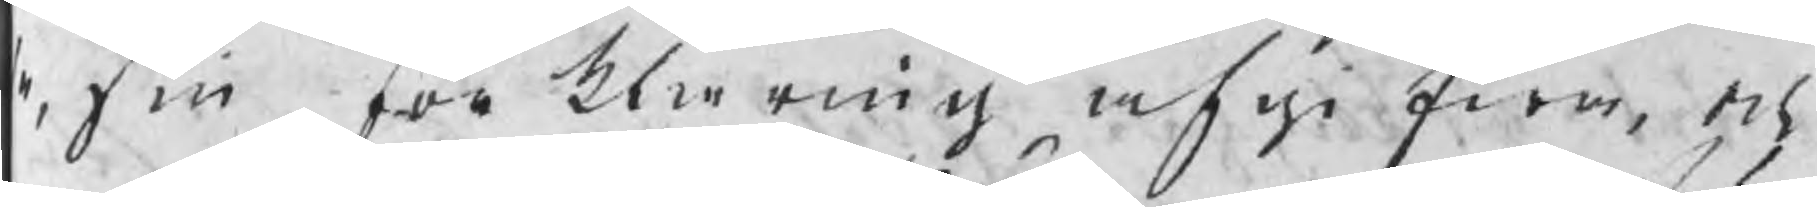e, sin förklaring afgifwa, och
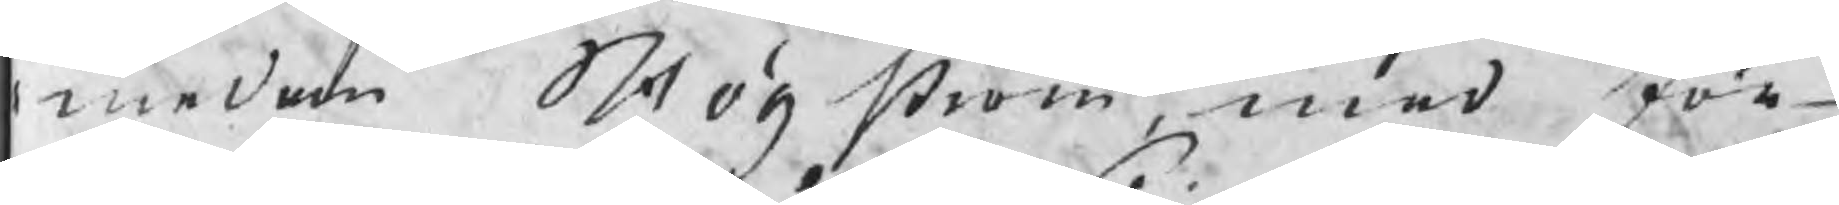medan Högström, med för¬
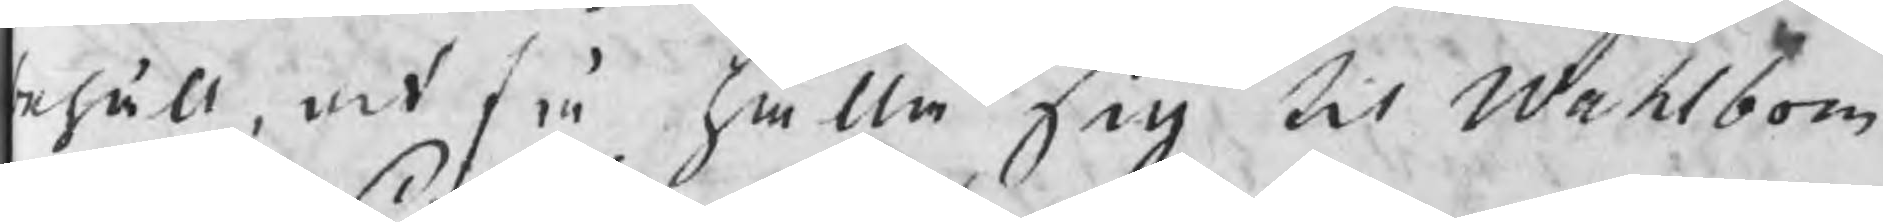ehåll, at få hålla sig til Wahlbom
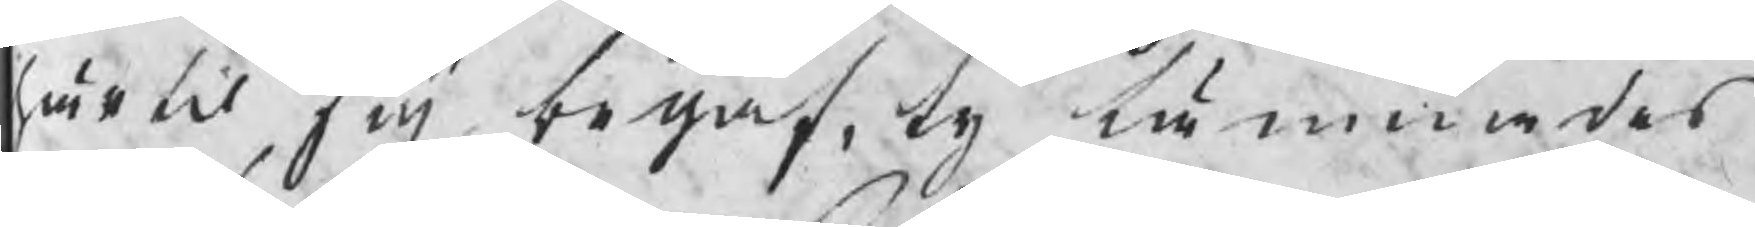härtil sig begaf, ty lämnades
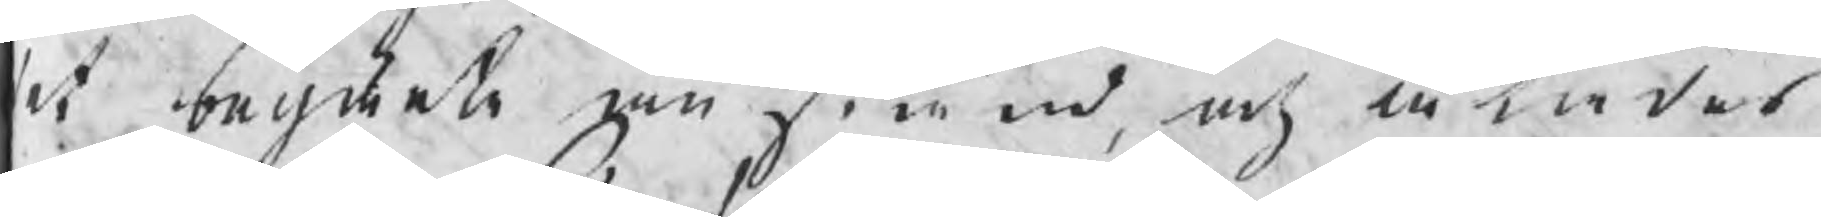et begärte anstånd, och ålades
